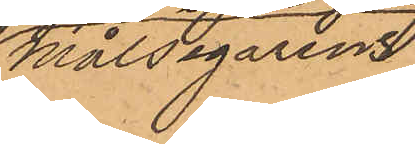Målsegarens
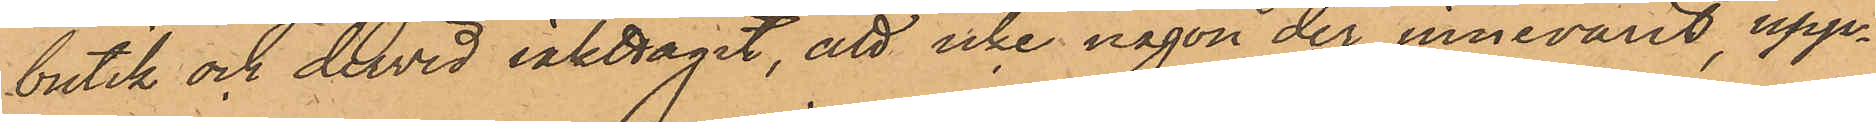butik och dervid iakttagit, att icke någon der innevarit, upp¬
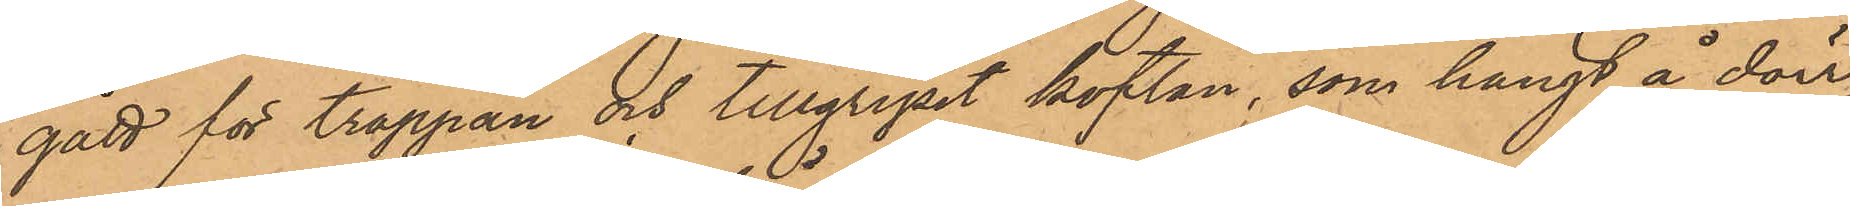gått för trappan och tillgripit koftan, som hängt å dörr¬
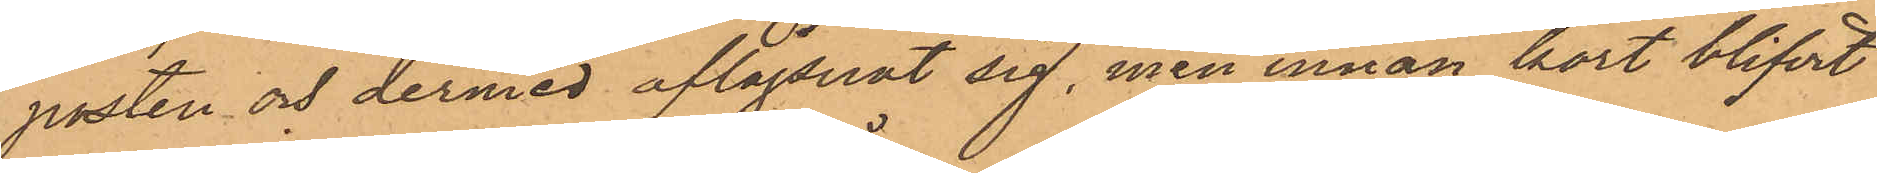posten och dermed aflägsnat sig, men innan kort blifvit
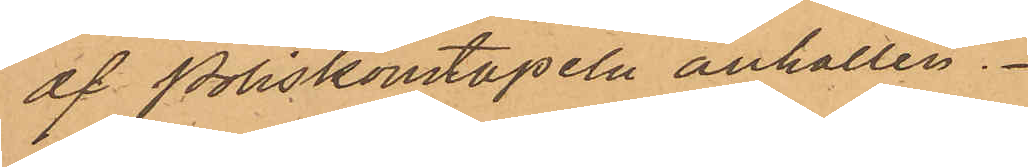af Poliskonstapeln anhållen.
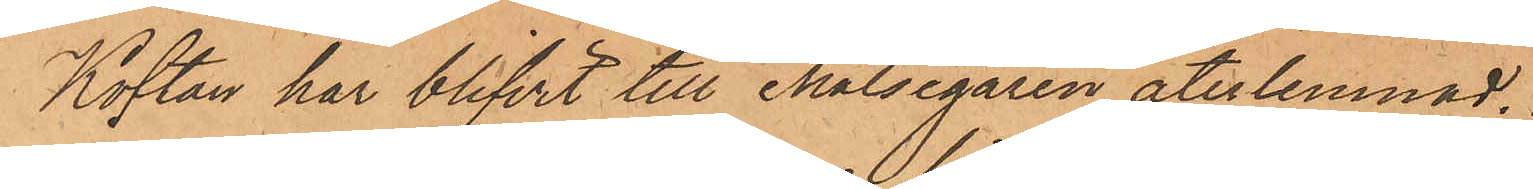Koftan har blifvit till Målsegaren återlemnad.
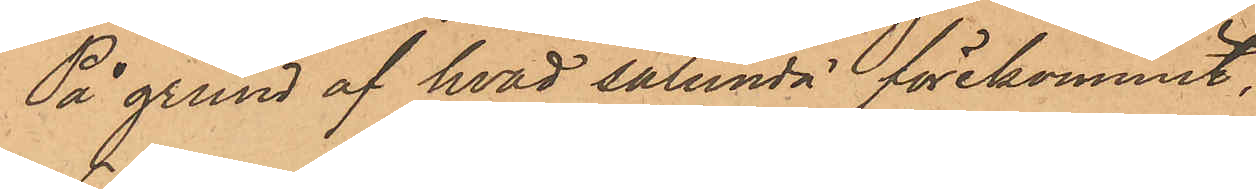På grund af hvad sålunda förekommit,
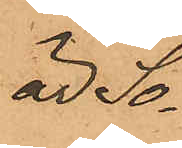är So¬
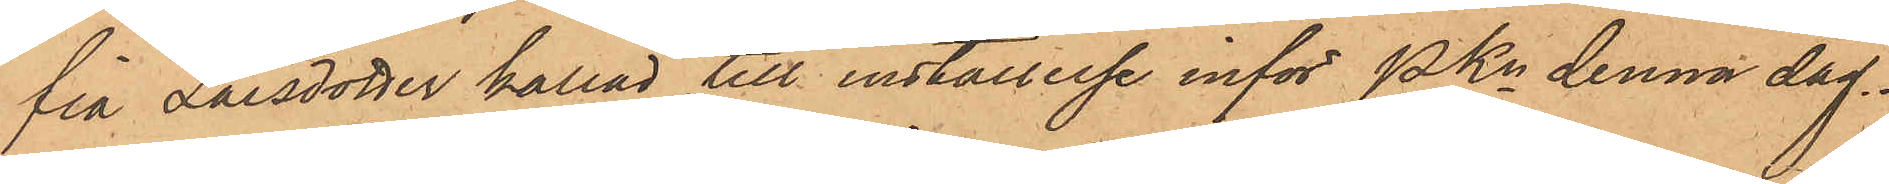fia Larsdotter kallad till inställelse inför Pkn denna dag.
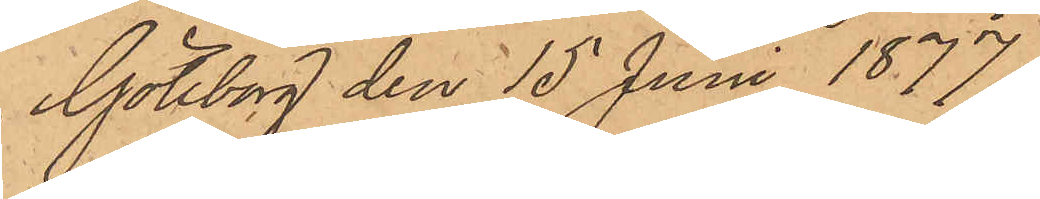Göteborg den 15 Juni 1877
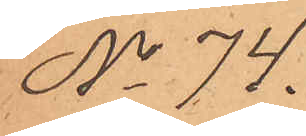No 74.
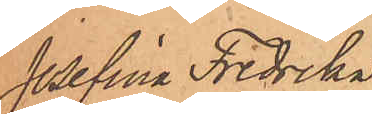Josefina Fredrika
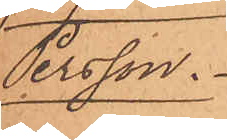Persson.
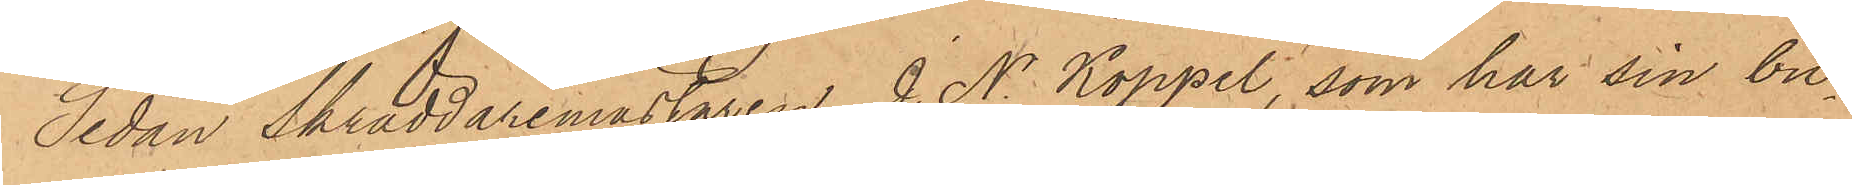Sedan Skräddaremästaren J. N. Koppel, som har sin bu¬
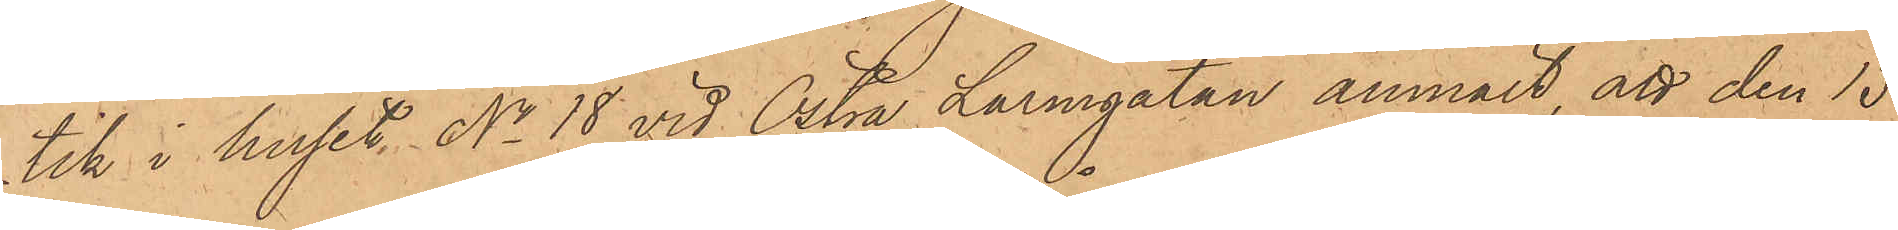tik i huset No 18 vid Östra Larmgatan anmält, att den 15
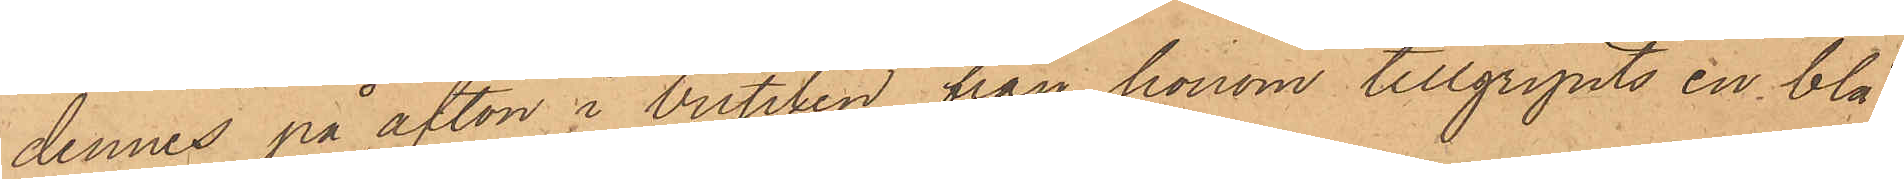dennes på afton i butiken från honom tillgripits en blå
